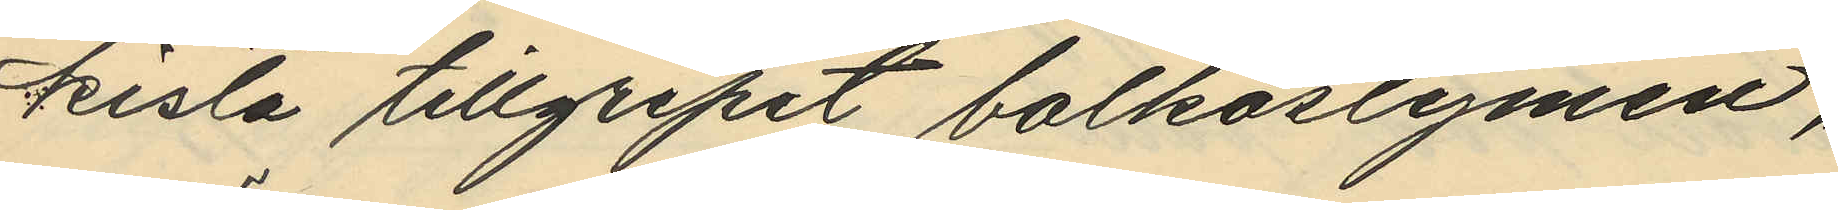kista tillgripit balkostymen,
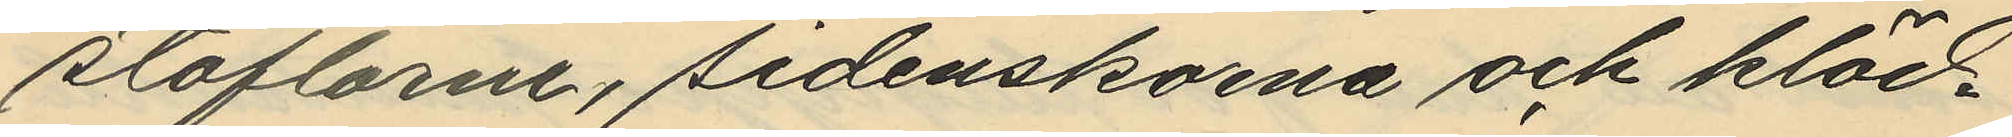stöflarne, sidenskorna och kläd¬
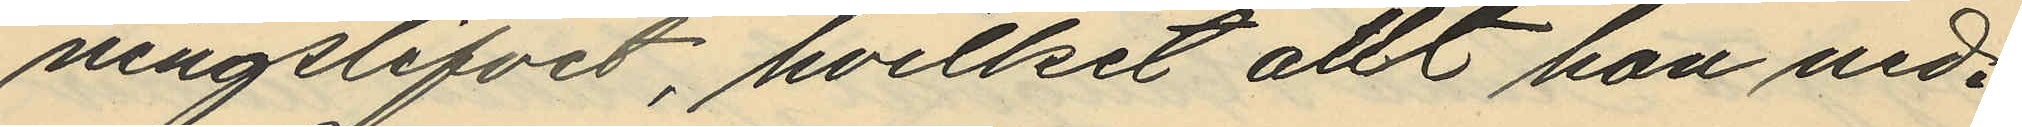ningslifvet, hvilket allt hon ned¬
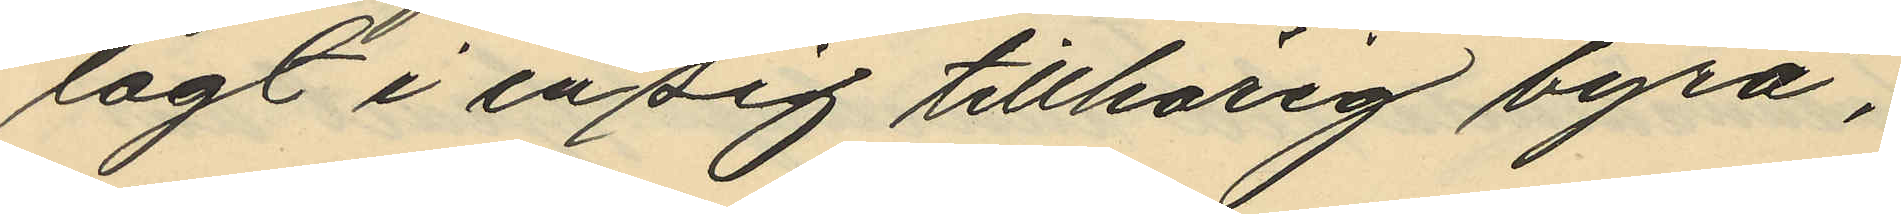lagt i en sig tillhörig byrå,
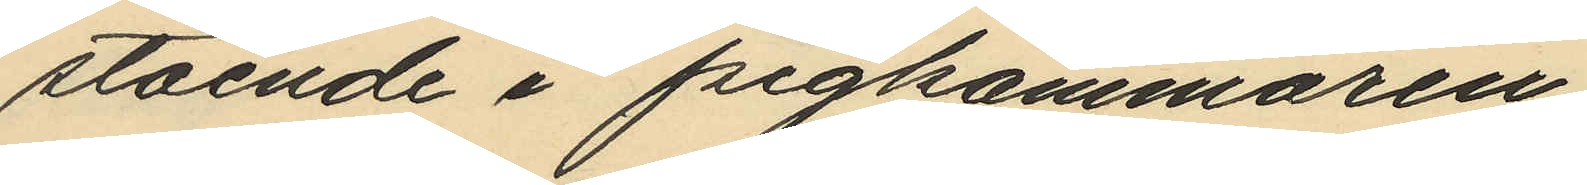stående i pigkammaren;
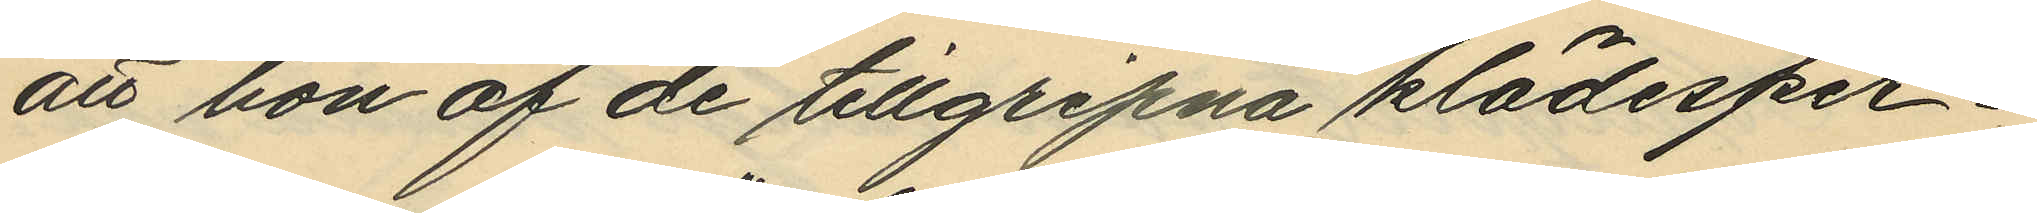att hon af de tillgripna klädesper¬
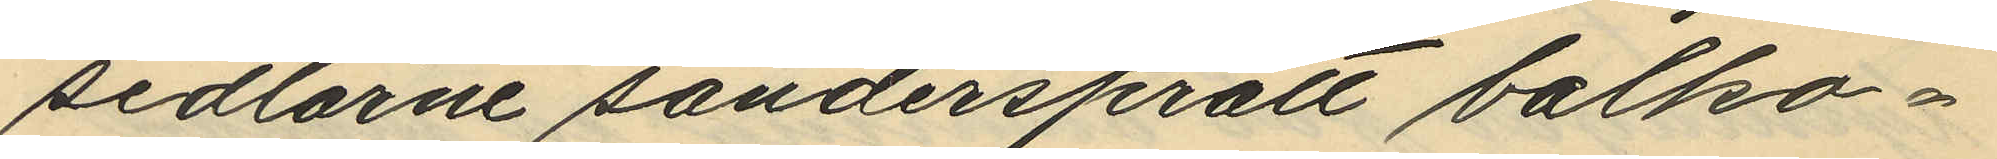sedlarne söndersprätt balko¬
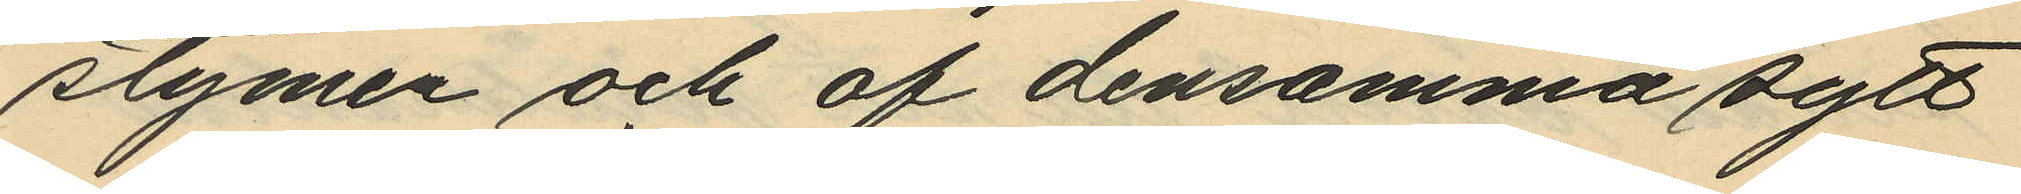stymen och af densamma sytt
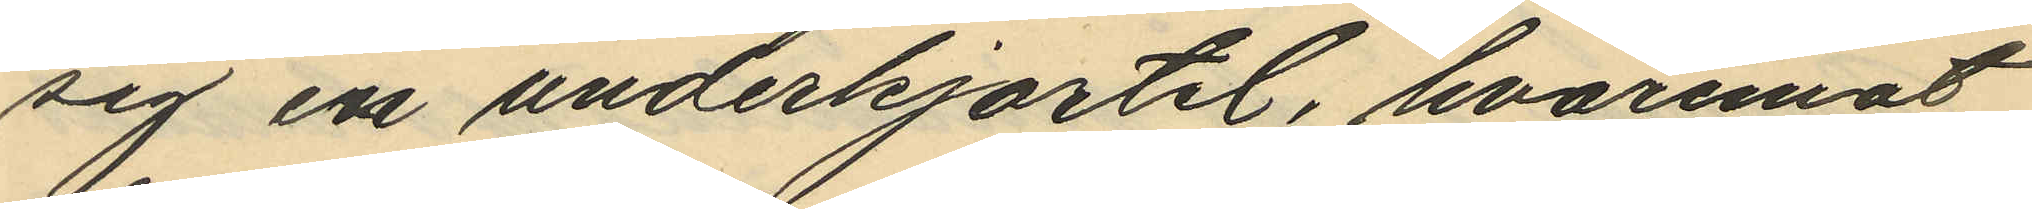sig en underkjortel, hvaremot
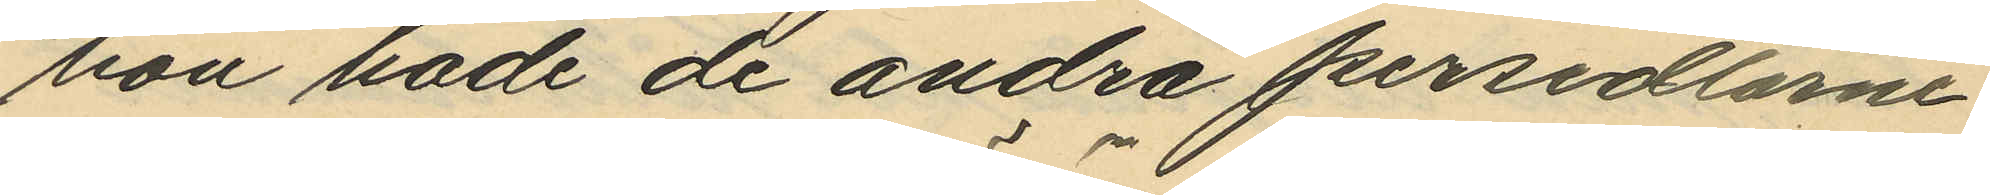hon hade de andra persedlarne
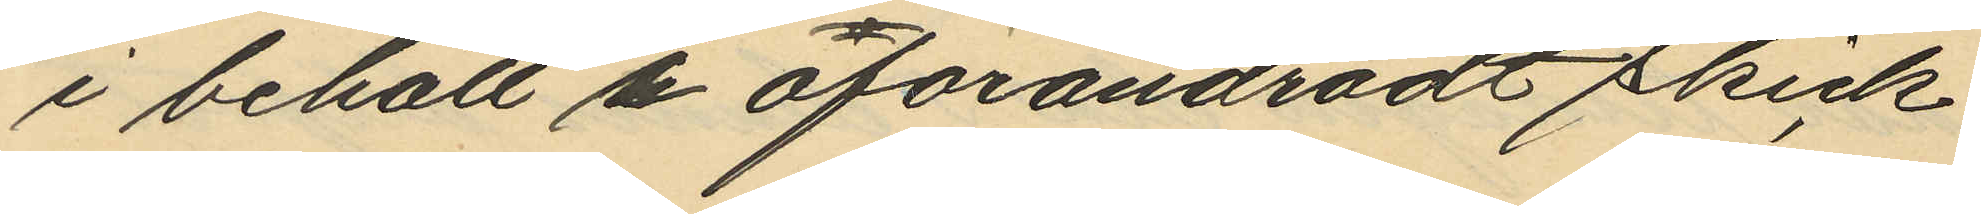i behåll i oförändradt skick,
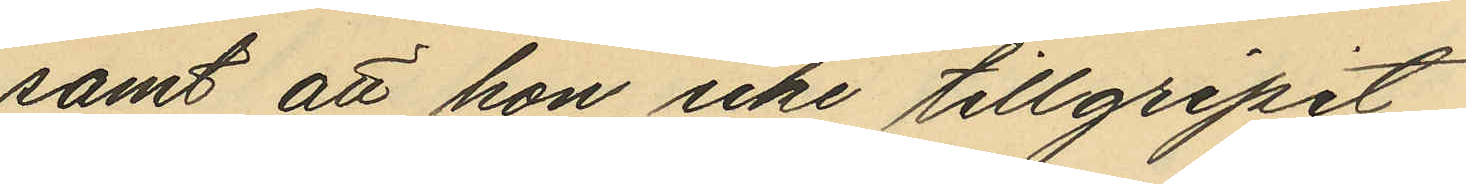samt att hon icke tillgripit
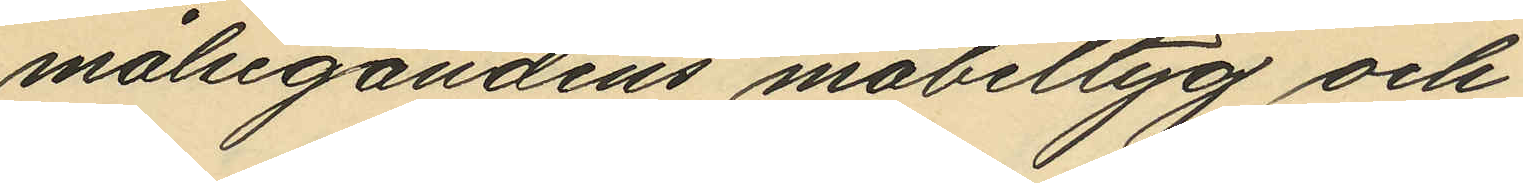målsegandens möbeltyg och
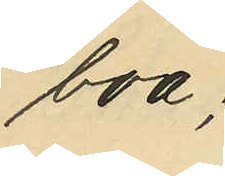boa.
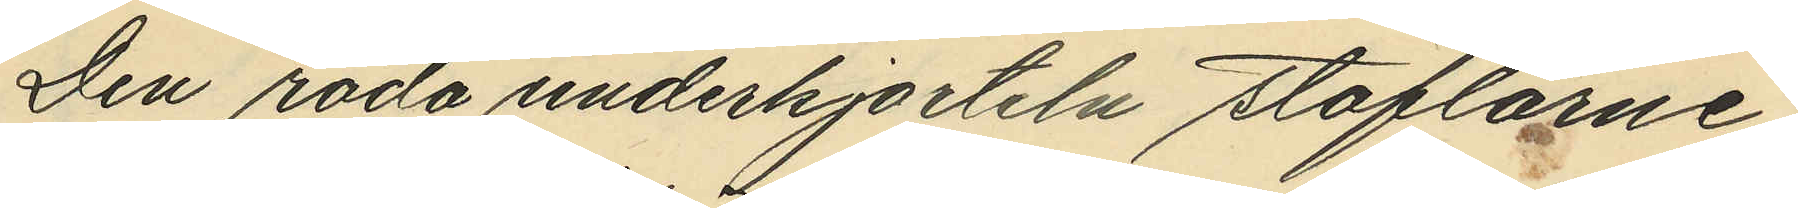Den röda underkjorteln, stöflarne,
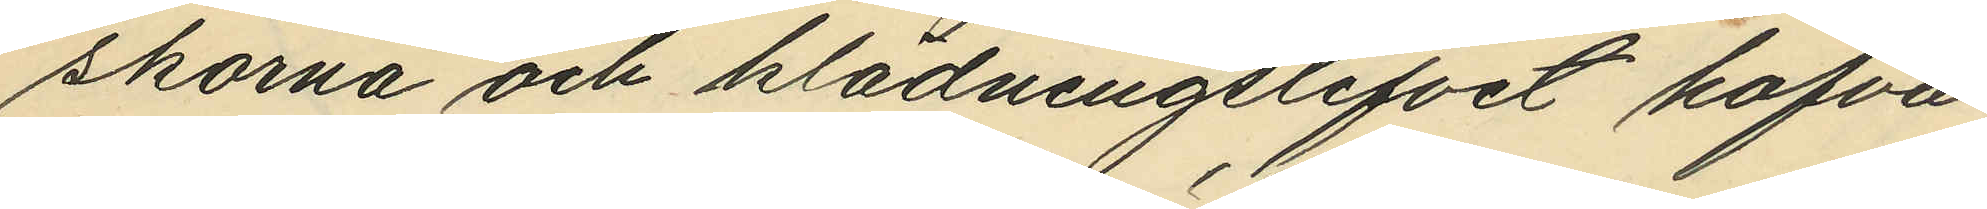skorna och klädningslifvet hafva
